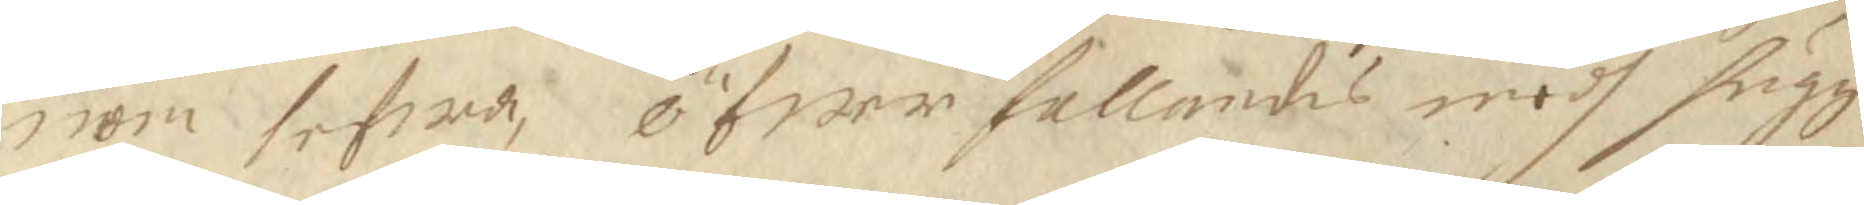rom lefwde, öfwerfallandes medh hugg
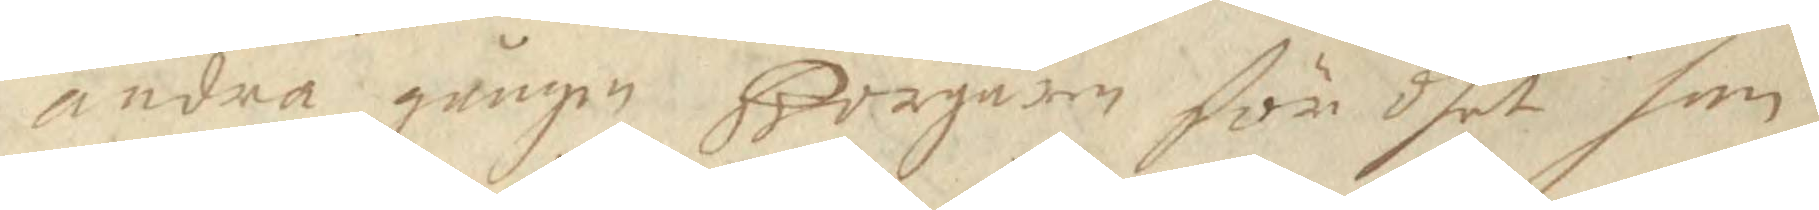andra gången Borgarn för dhet han
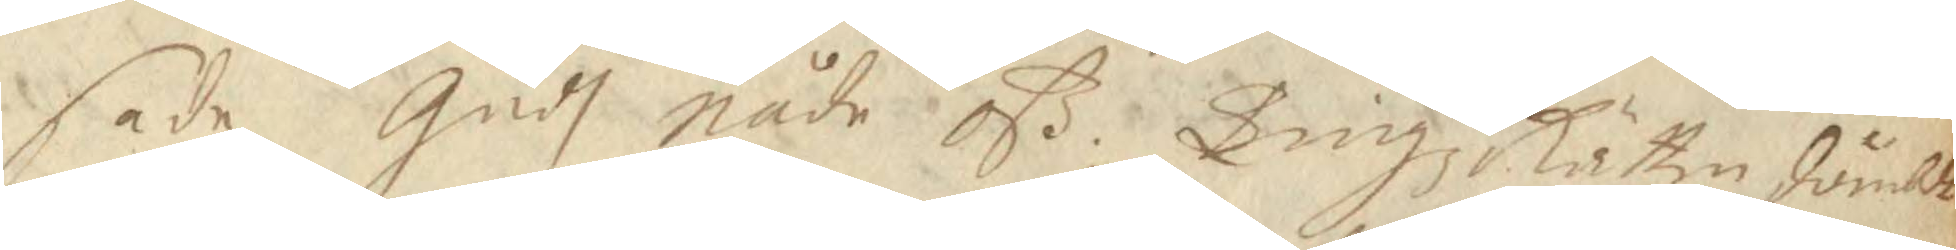sade Gudh Nåde oß. Tingz Rätten dömbte 
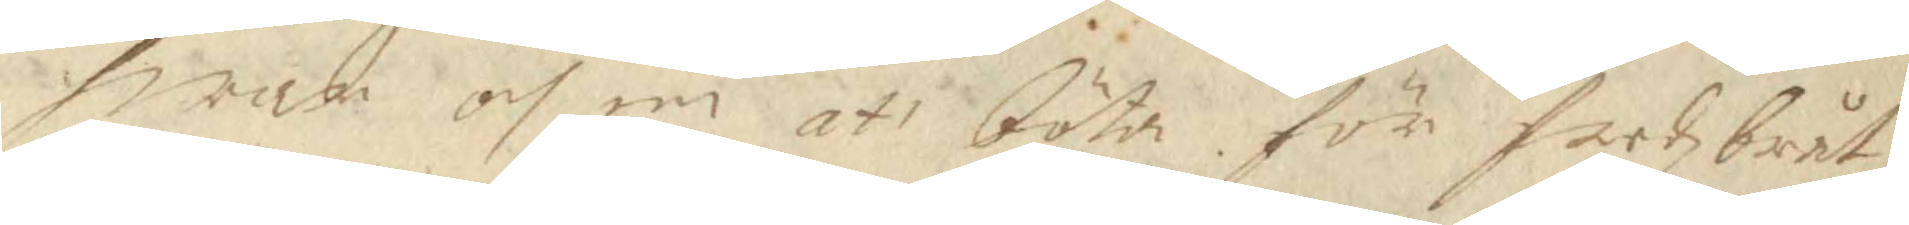hwar och en ati böta för ferdzbråt¬
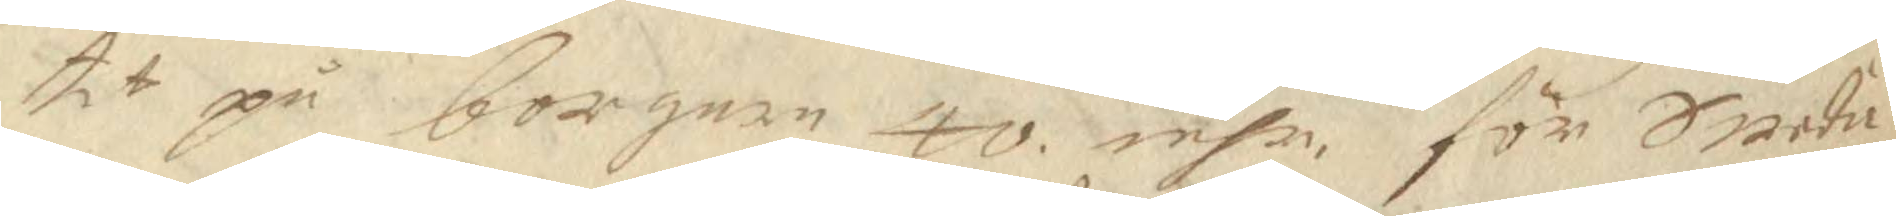tit på borgern 40 mhr för Swedie
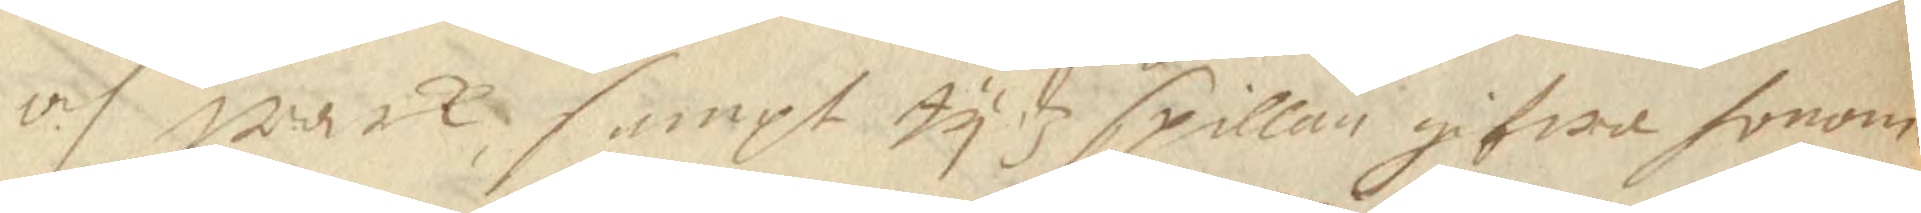och wark sampt tydz spillan gifwa honom
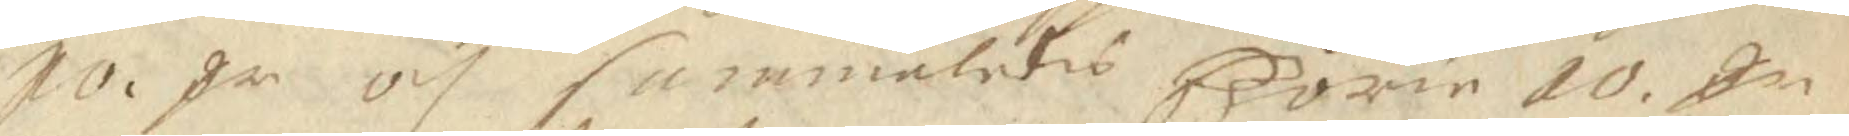10. Sr och sammeledes Börie 10 Sn 
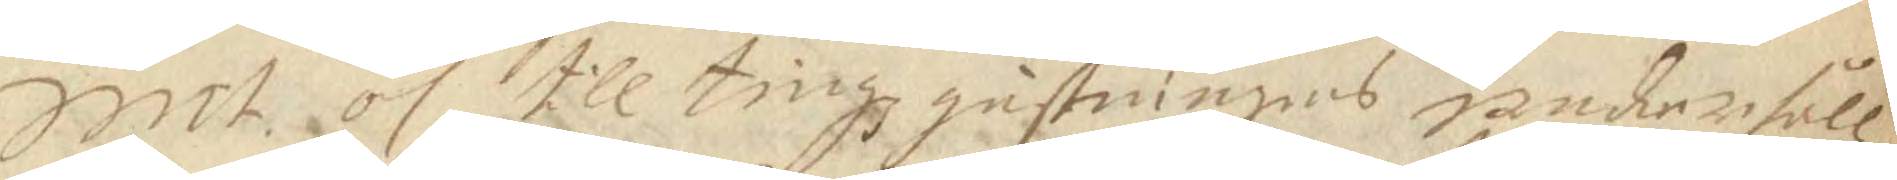Smt och till tingzgästningens underhåll
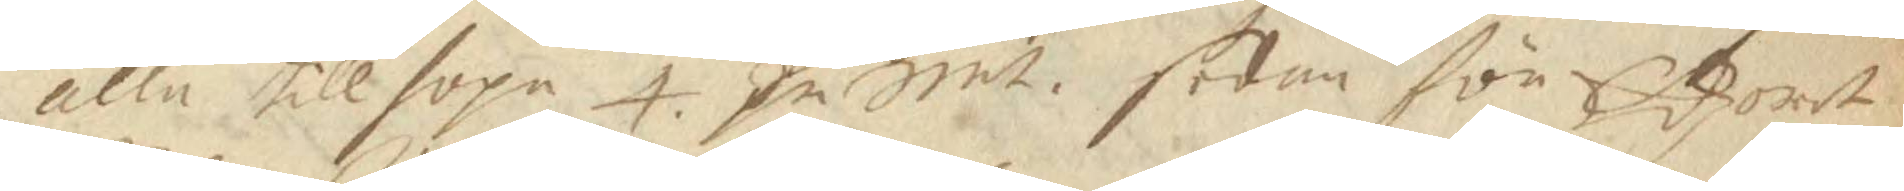alla tillhopa 4 Sr Smt sedan för Edzoret 
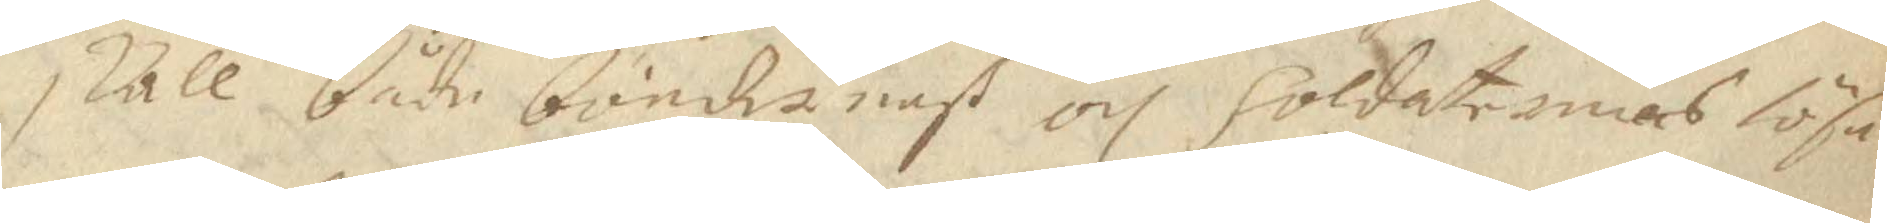skall både böndernaß och Soldaternas lösa
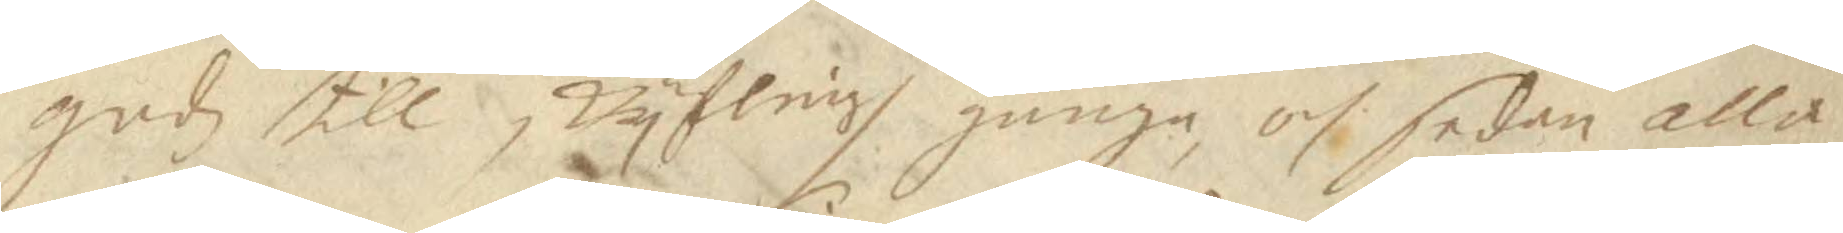gudz till skyflingh gånge, och sedan alla
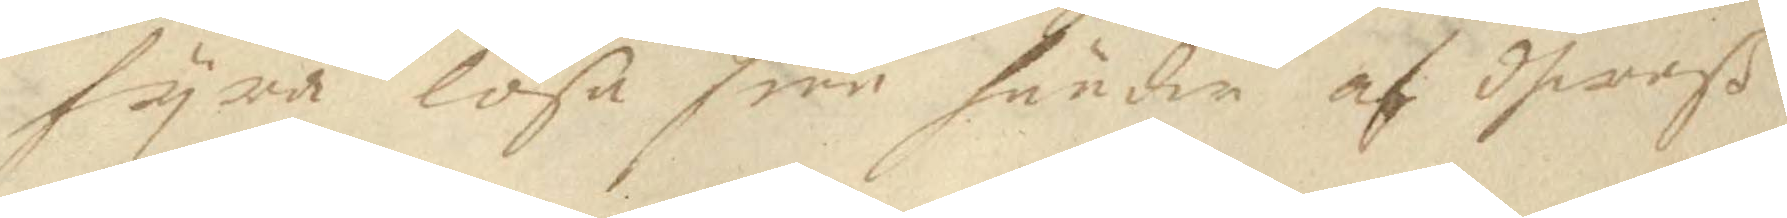fyra lösa sine hunder af dheraß
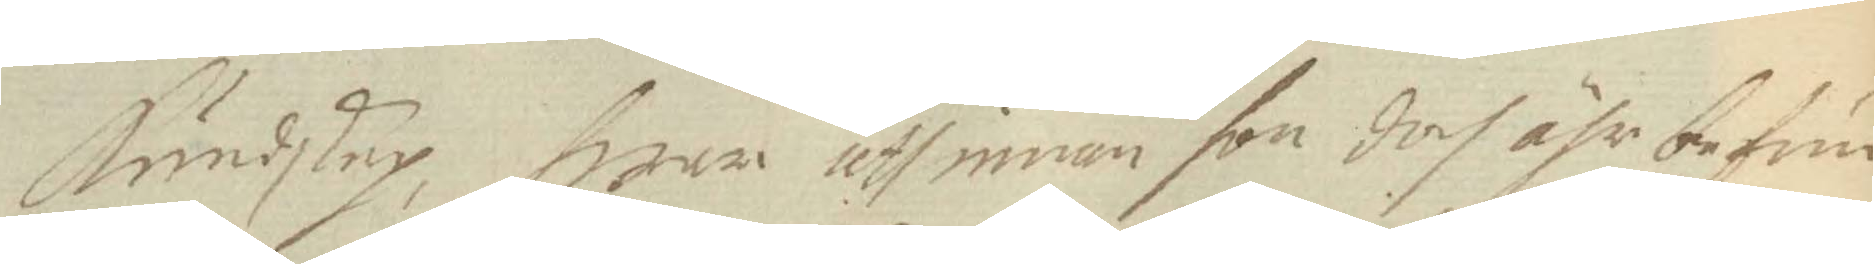Kundskap, hwar uth innan hon doch ähr befun¬
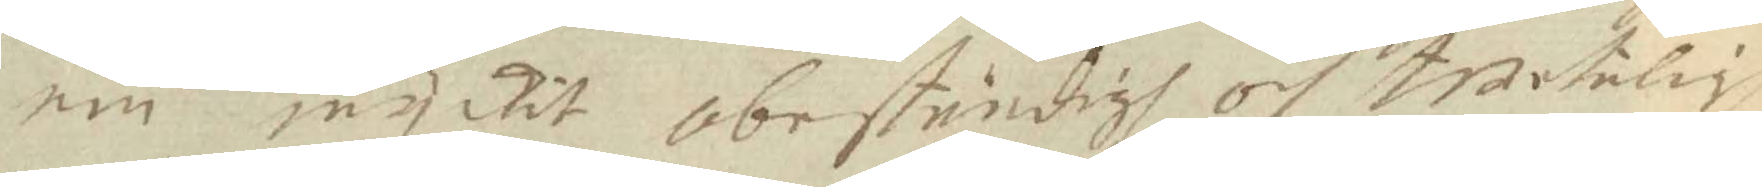en myckit obeständigh och twetalig,
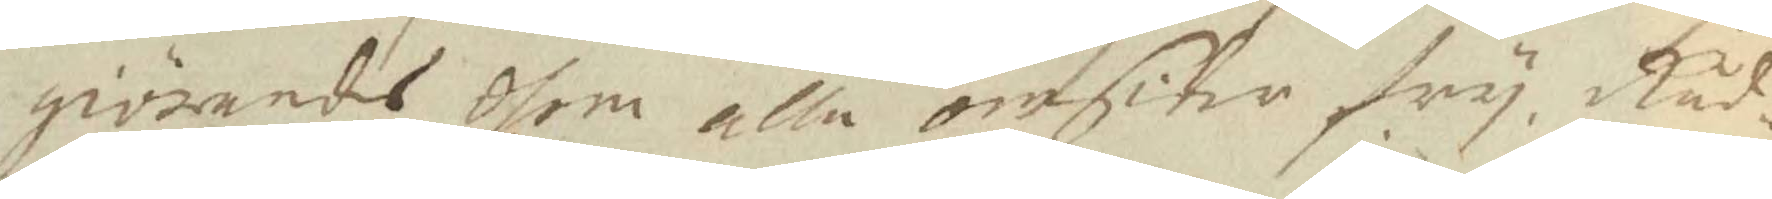giörandes dhem alla omsiter fry, Råd¬
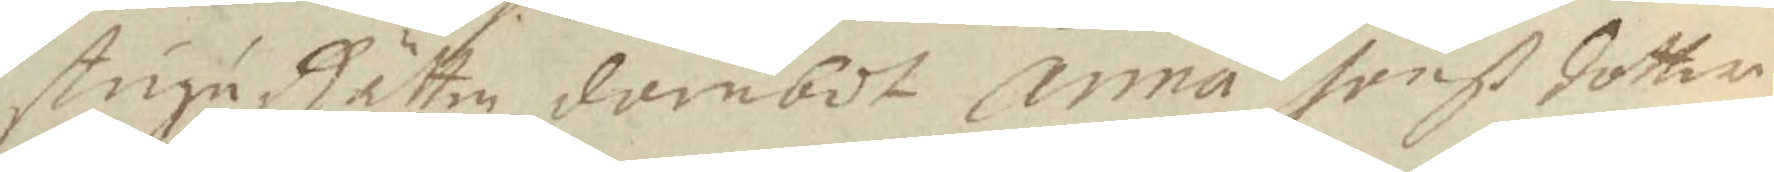stugu Rätten dömbdt Anna Jonß dotter
